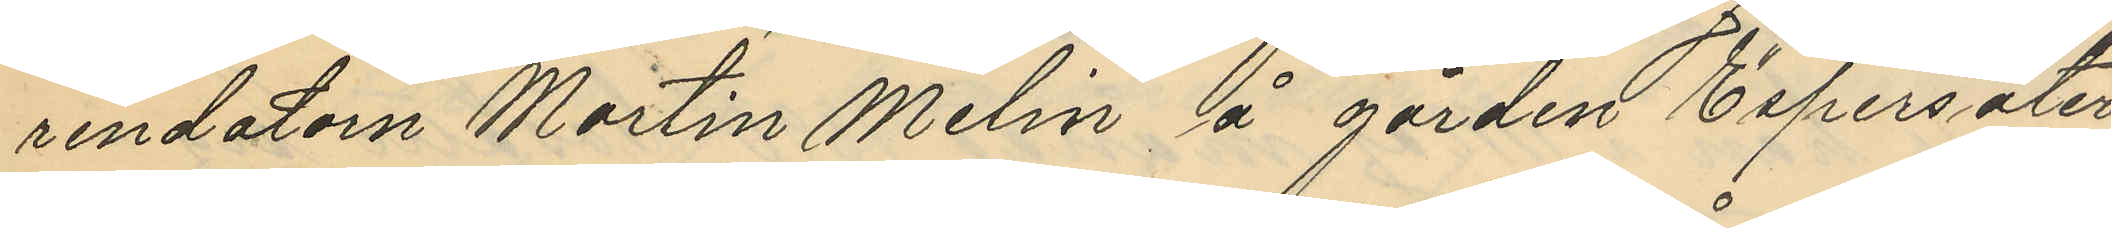rendatorn Martin Melin å gården Espersäter,
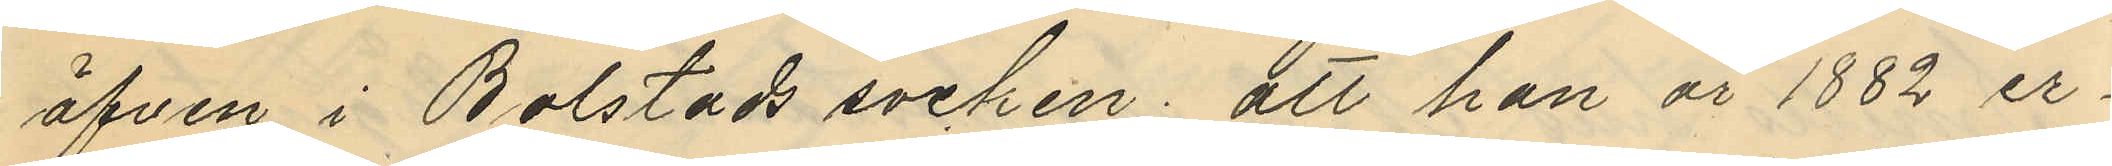äfven i Bolstads socken, till han år 1882 er¬
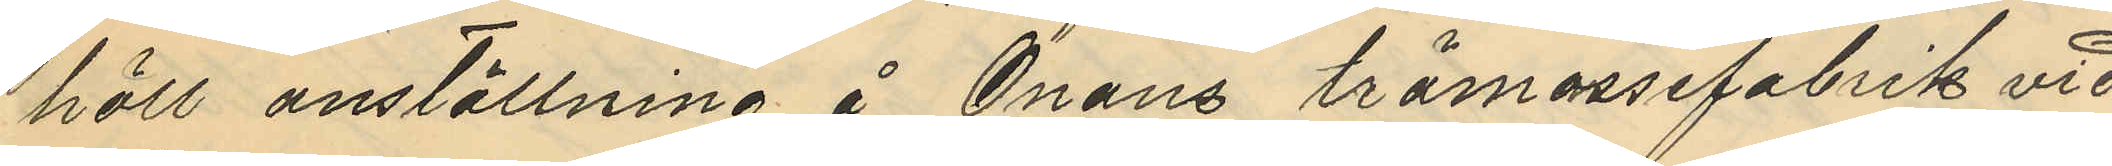höll anställning å Önans trämassefabrik vid
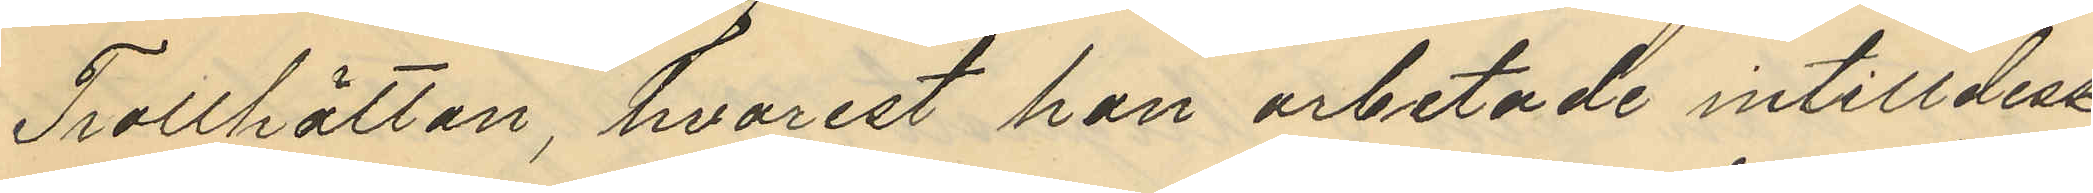Trollhättan, hvarest han arbetade intill dess
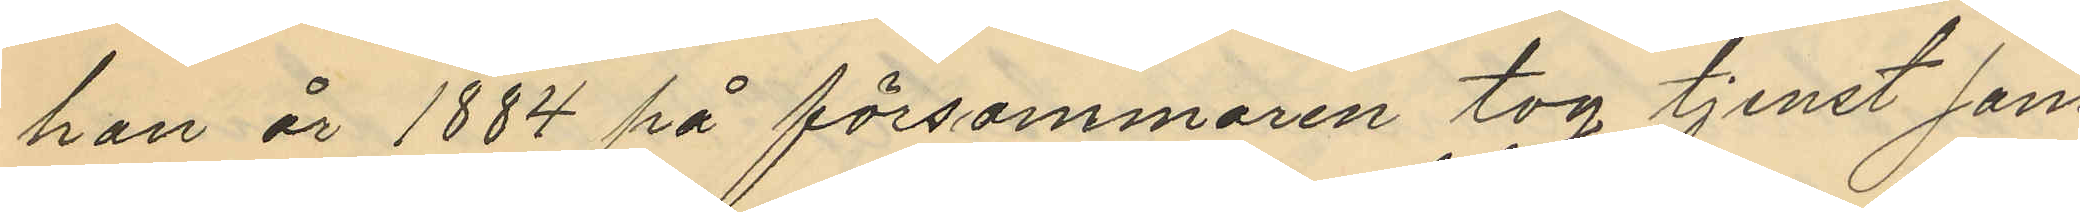han år 1884 på försommaren tog tjenst som
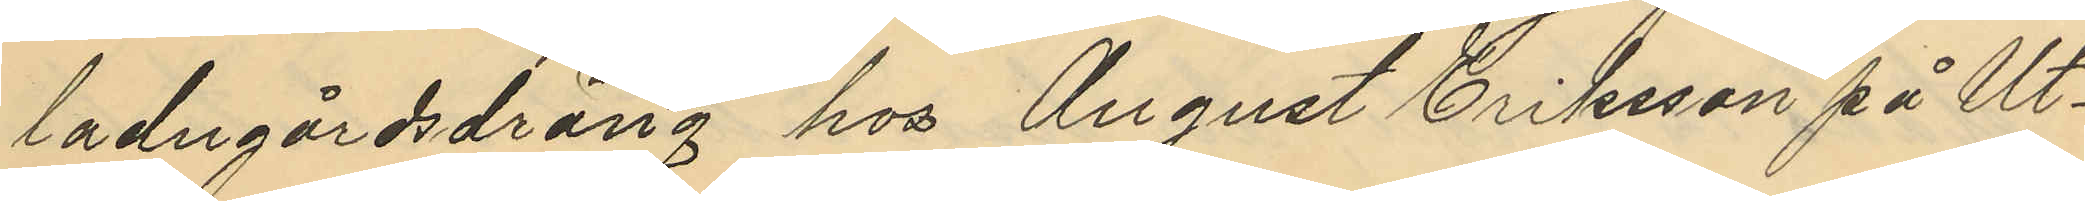ladugårdsdräng hos August Eriksson på Ut¬
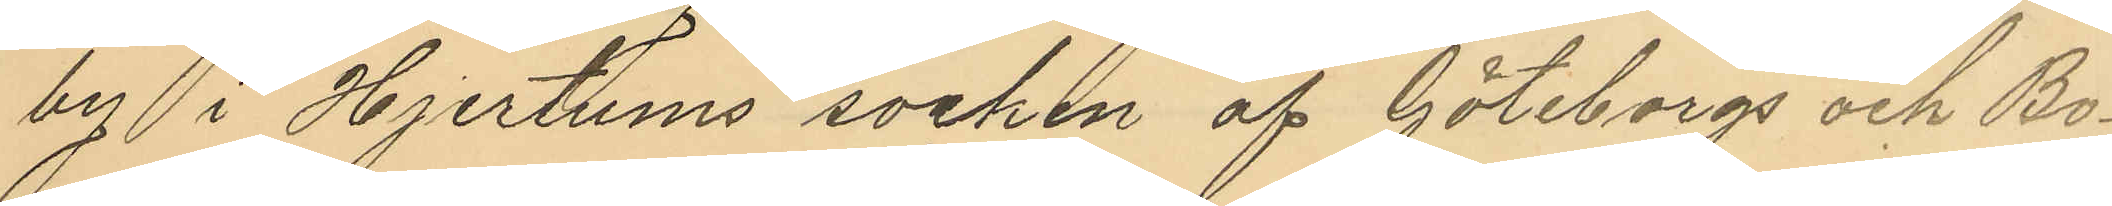by i Hjertums socken af Göteborgs och Bo¬
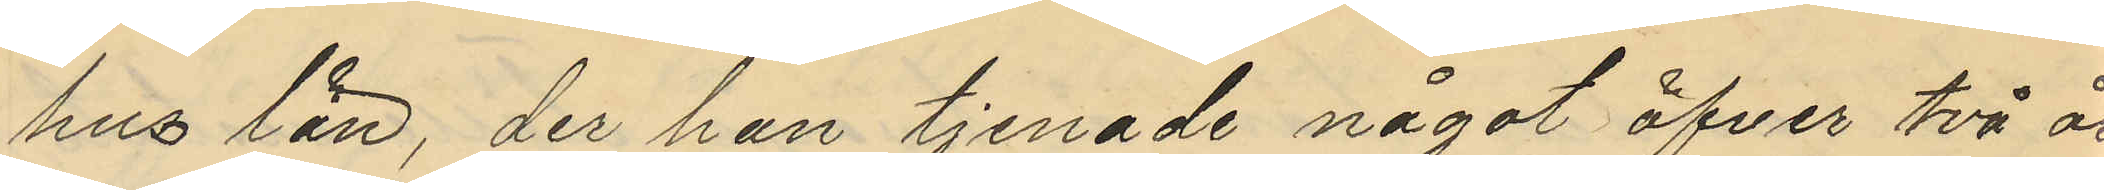hus län, der han tjenade något öfver två år;
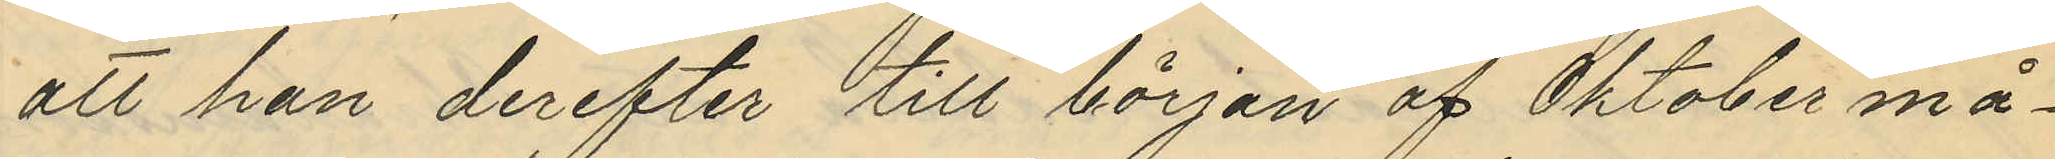att han derefter till början af Oktober må¬
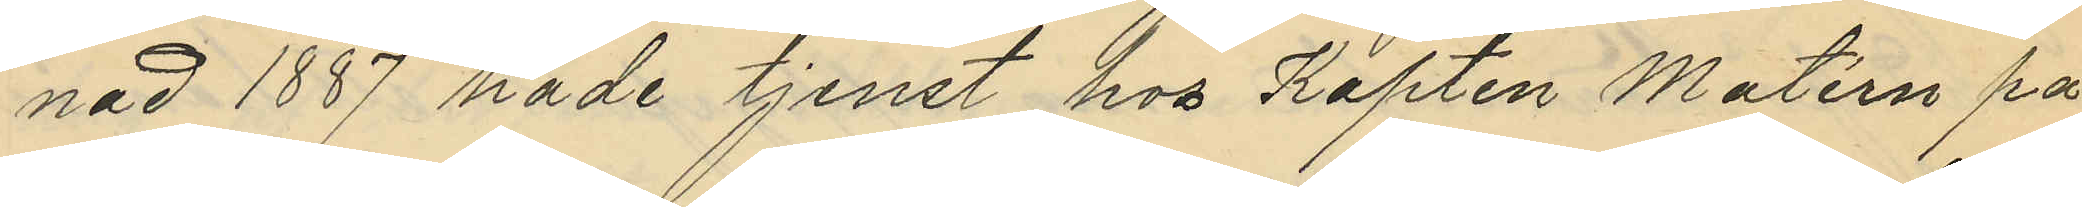nad år 1877 hade tjenst hos Kapten Matérn på
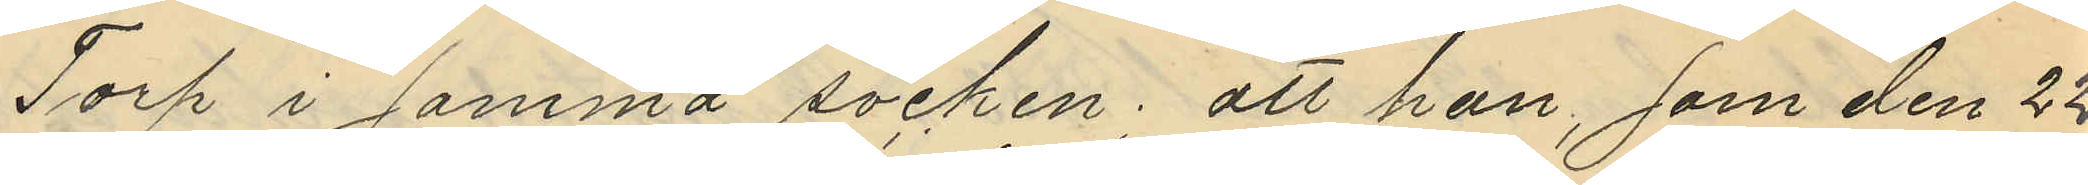Torp i samma socken, att han, som den 22
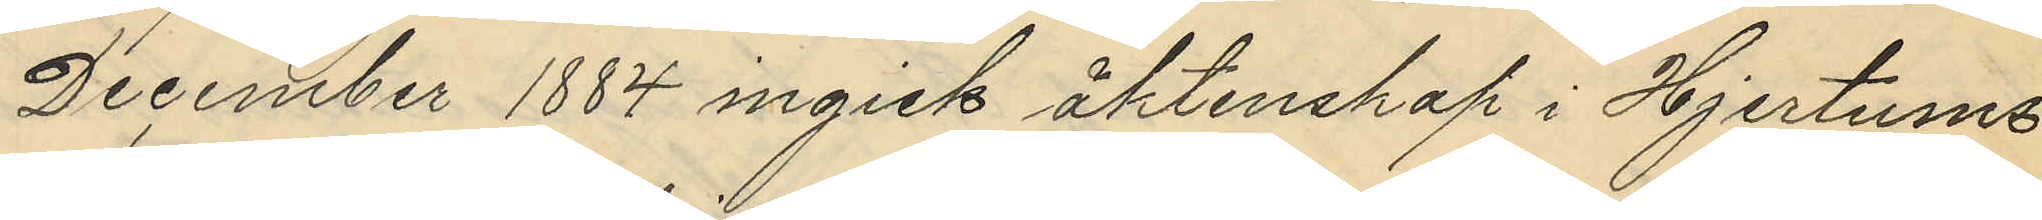December 1884 ingick äktenskap i Hjertums
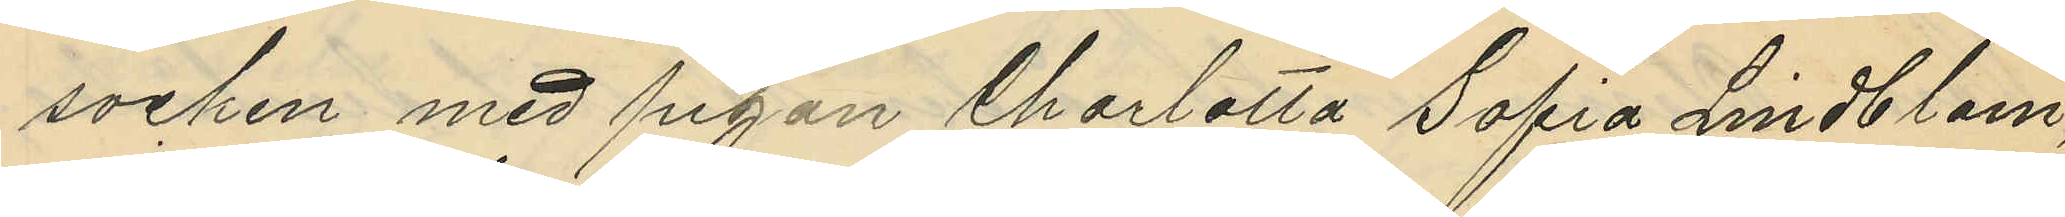socken med pigan Charlotta Sofia Lindblom,
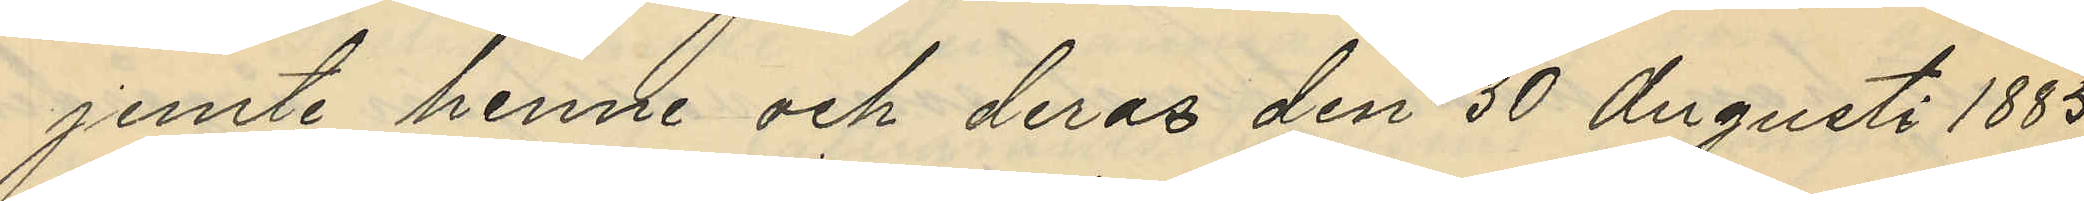jemte henne och deras den 30 Augusti 1885
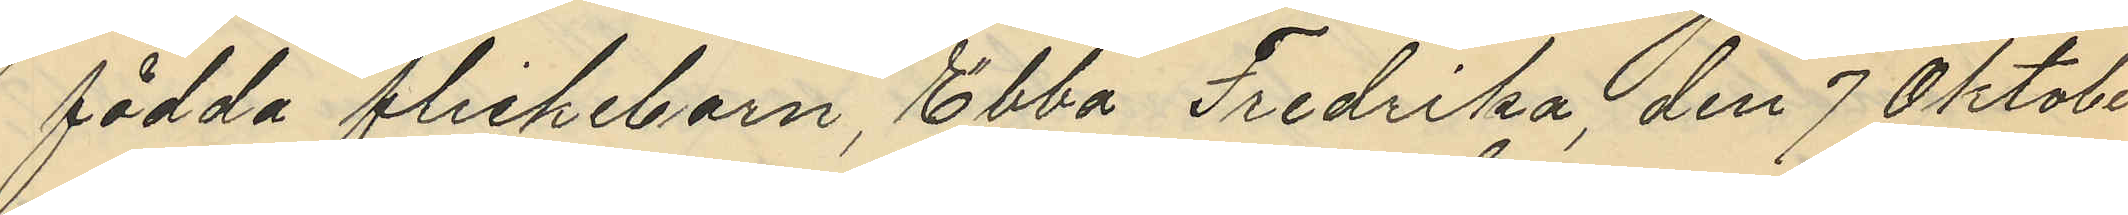födda flickebarn, Ebba Fredrika, den 7 Oktober
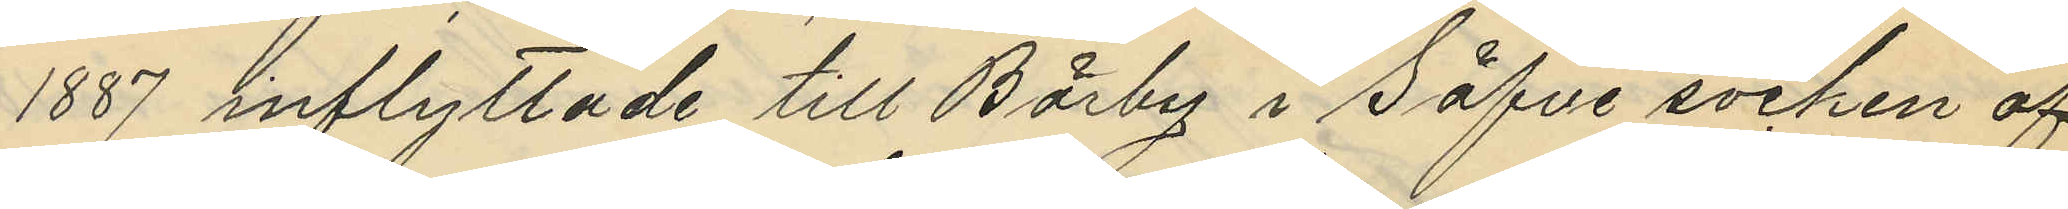1887 inflyttade till Bärby i Säfve socken af
